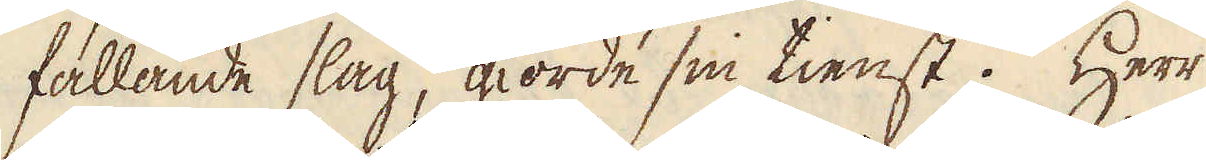fallande slag, giorde sin tienst. Herr
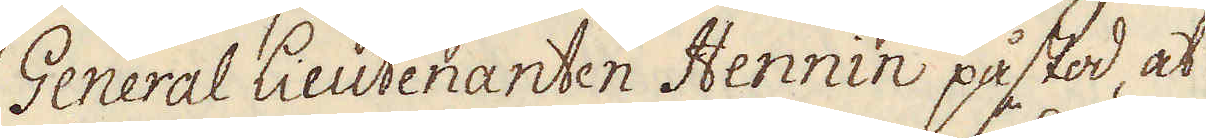General Lieutenanten Hennin påstod, at
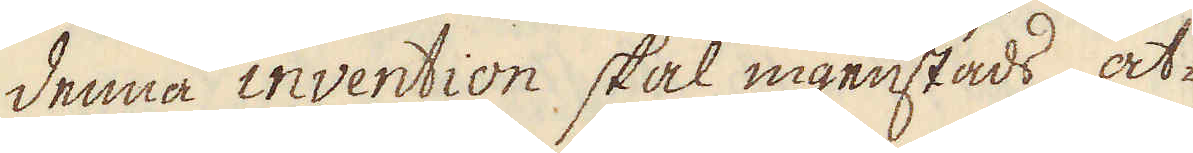denna invention skal ingenstads åt-
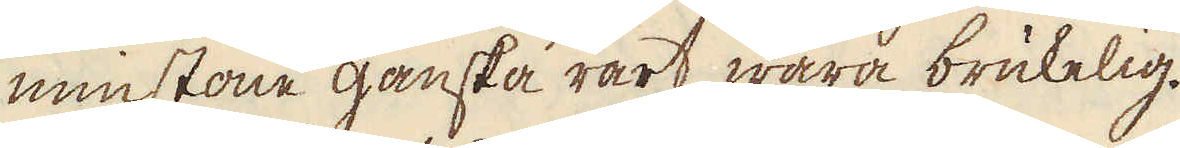minstone ganska rart wara brukelig.
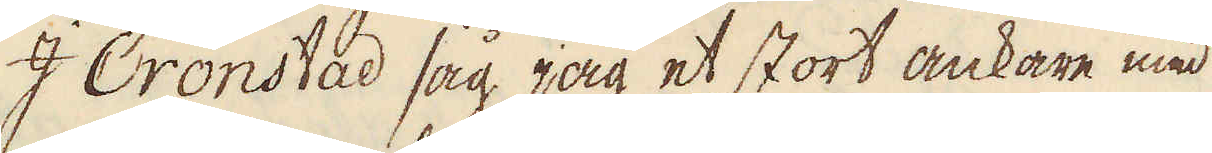I Cronstad såg jag et stort ankare med
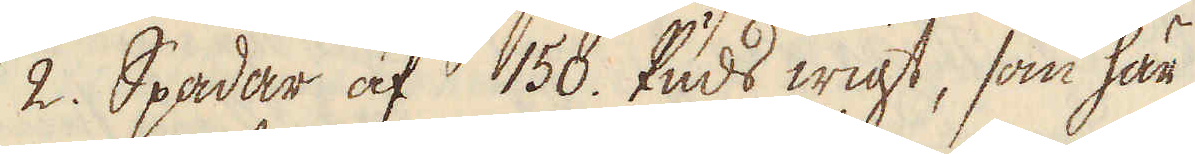2. Spadar af 150. Puds wigt, som här
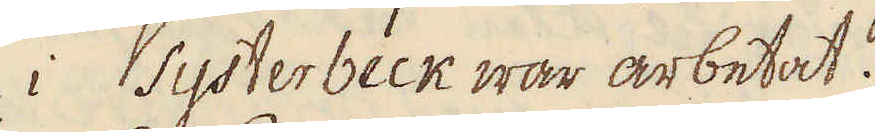i Systerbeck war arbetat.
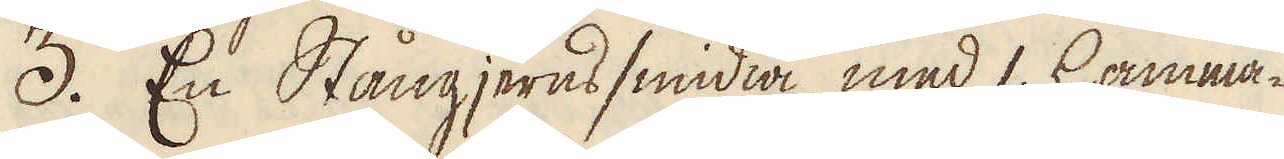3. En Stångjerns smidia, med 1. hamma-
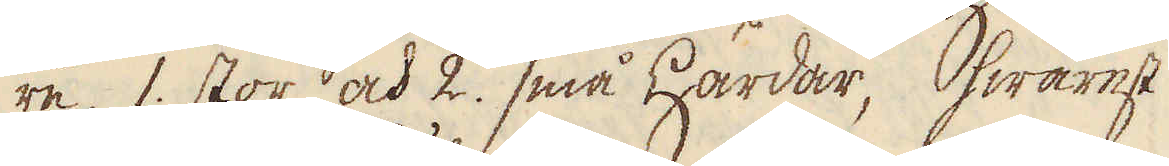re, 1 stor och 2. små härdar, hwarest
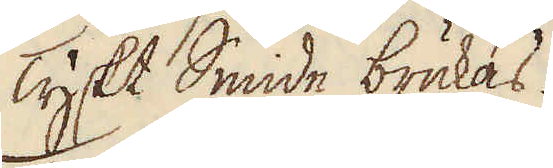Tyskt Smide brukas.
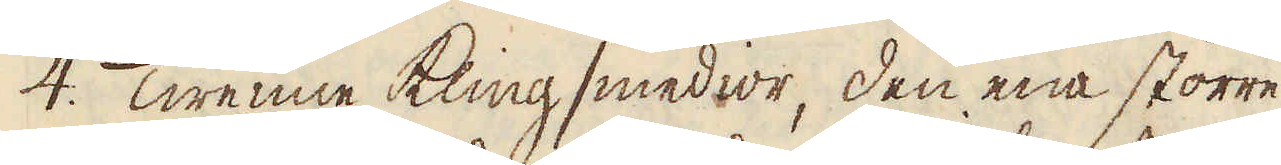4. Twenne Kling smedior, den ena större
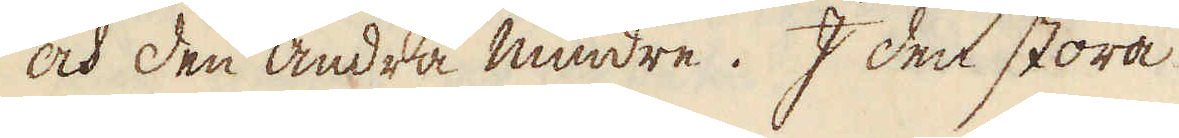och den andra mindre. I den stora
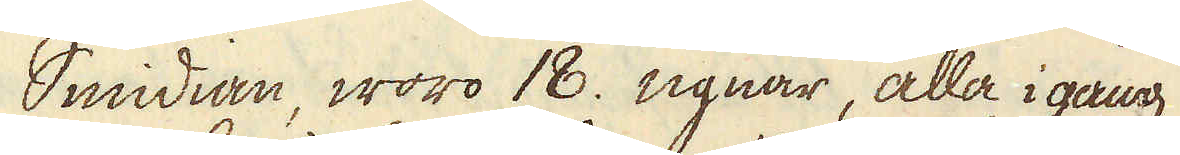Smidian, woro 18. ugnar, alla i gång
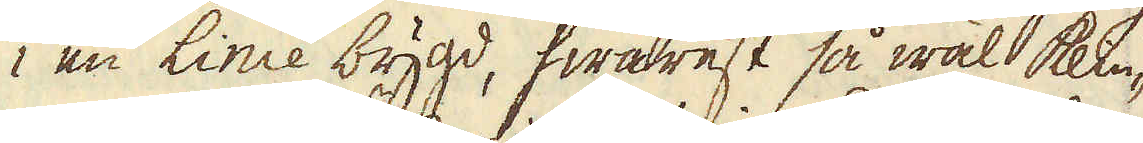 en Linie bygd, hwarest så wäl klin-
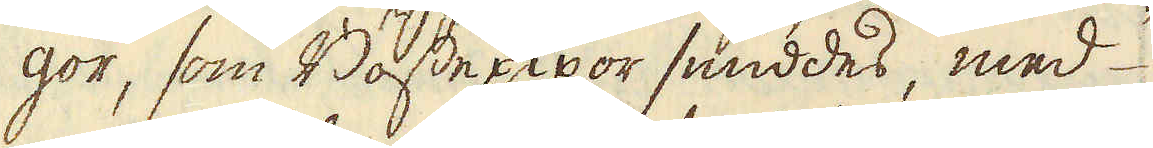gor, som Bössepipor smiddes, med
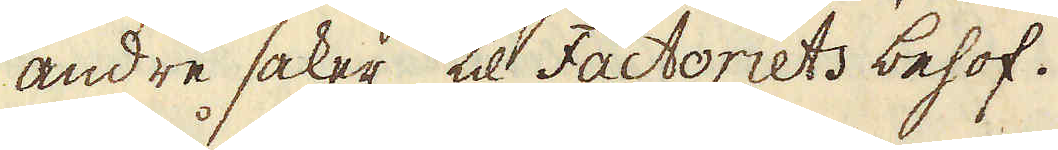andre saker til Factoriets behof.
